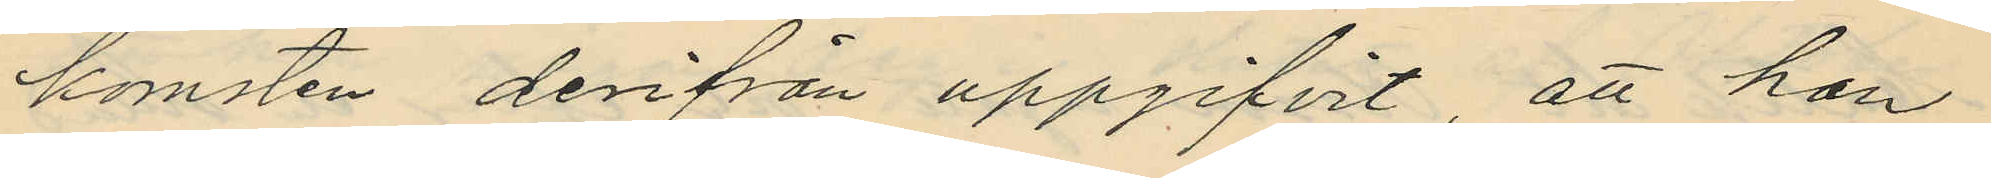komsten derifrån uppgifvit, att han
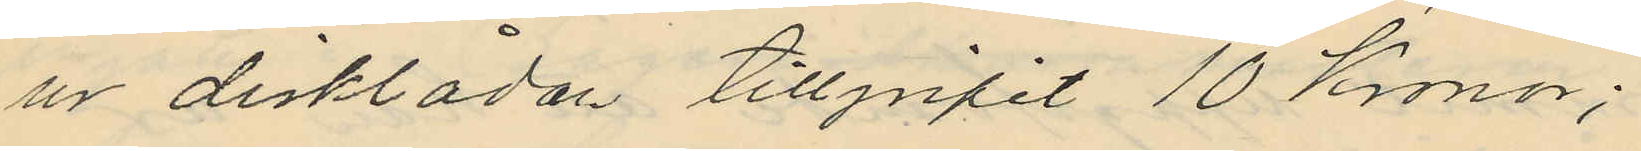ur disklådan tillgripit 10 Kronor;
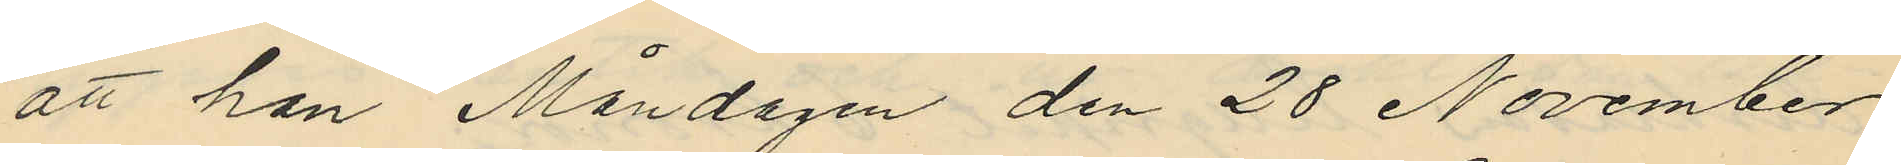att han Måndagen den 28 November
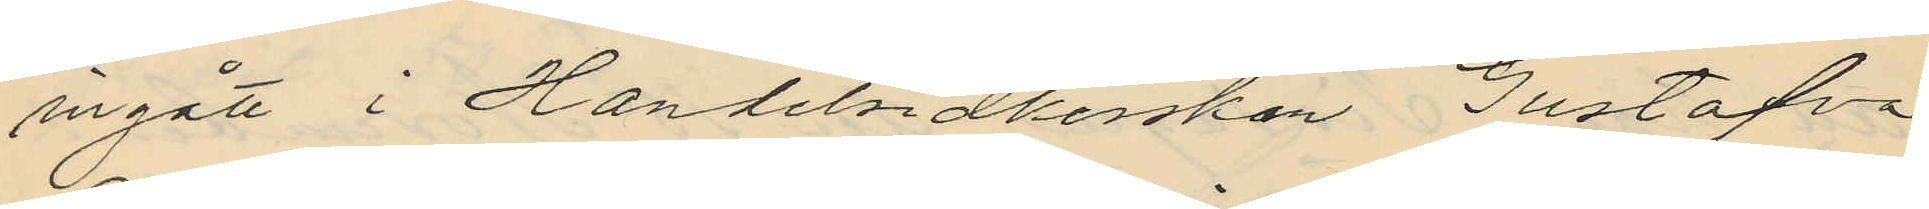ingått i Handelsidkerskan Gustafva
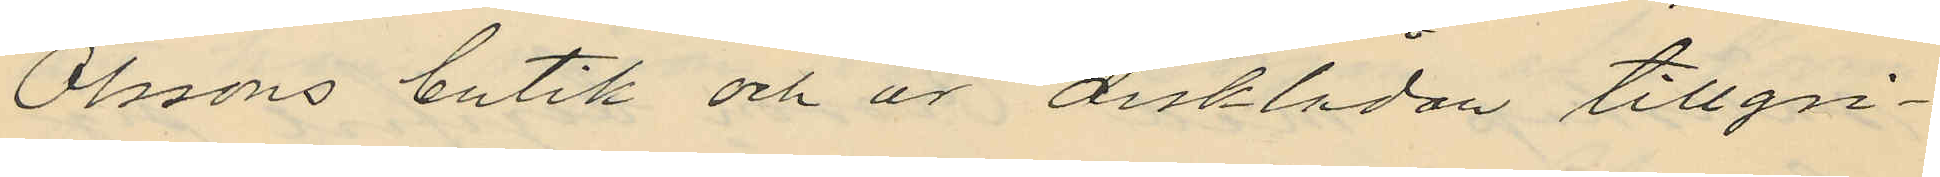Olssons butik och ur disklådan tillgri¬
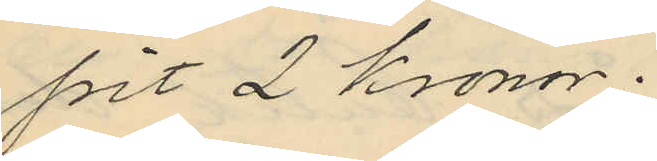fört 2 kronor;
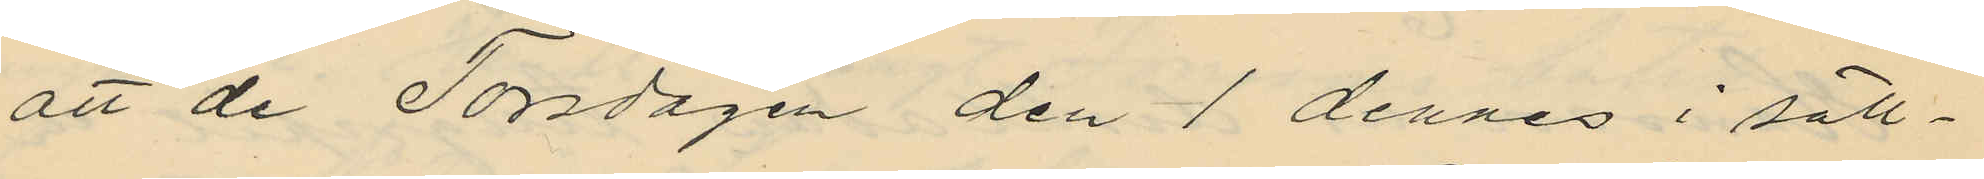att de Torsdagen den 1 dennes i säll¬
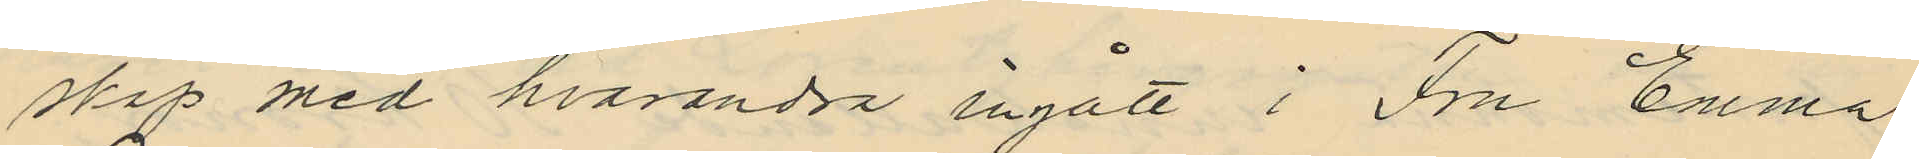skap med hvarandra ingått i Fru Emma
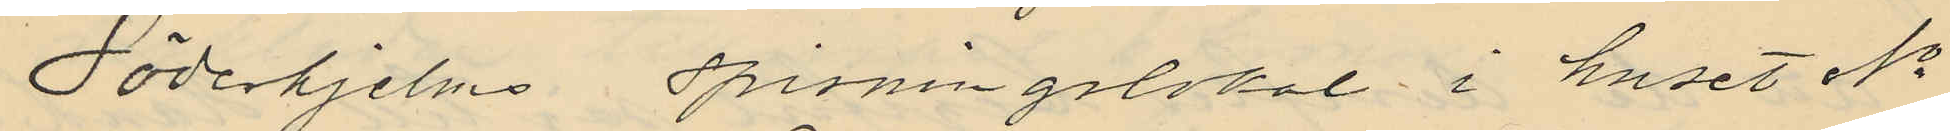Söderhjelms spisningslokal i huset No
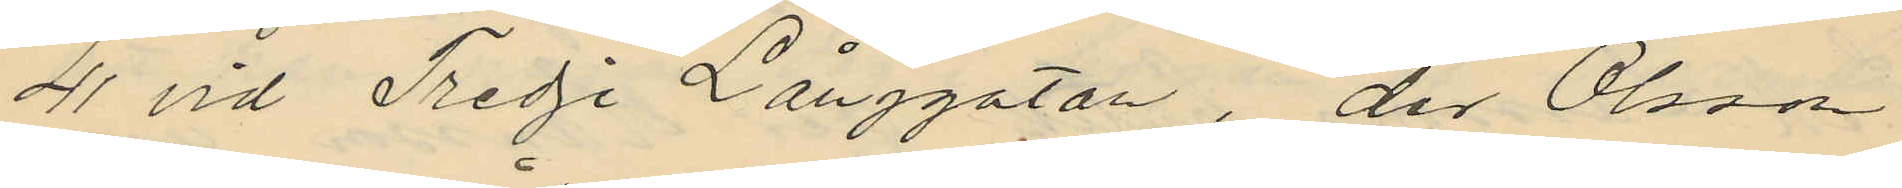41 vid Tredje Långgatan, der Olsson
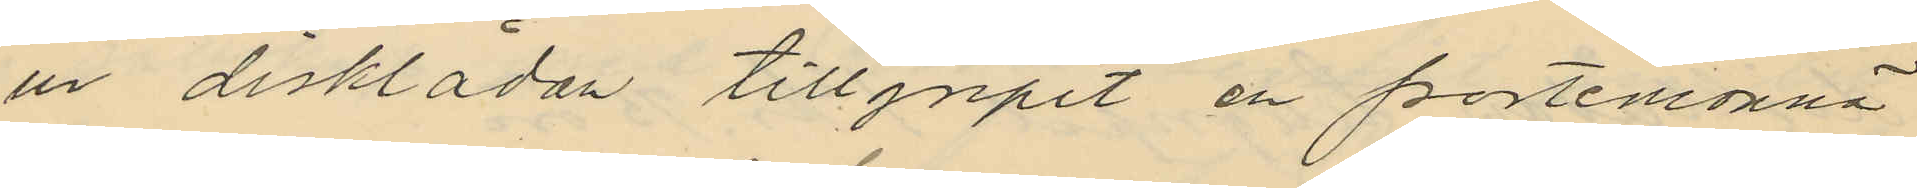ur disklådan tillgripit en portemonnä
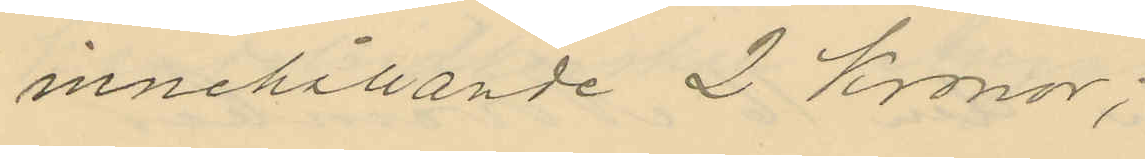innehållande 2 Kronor;
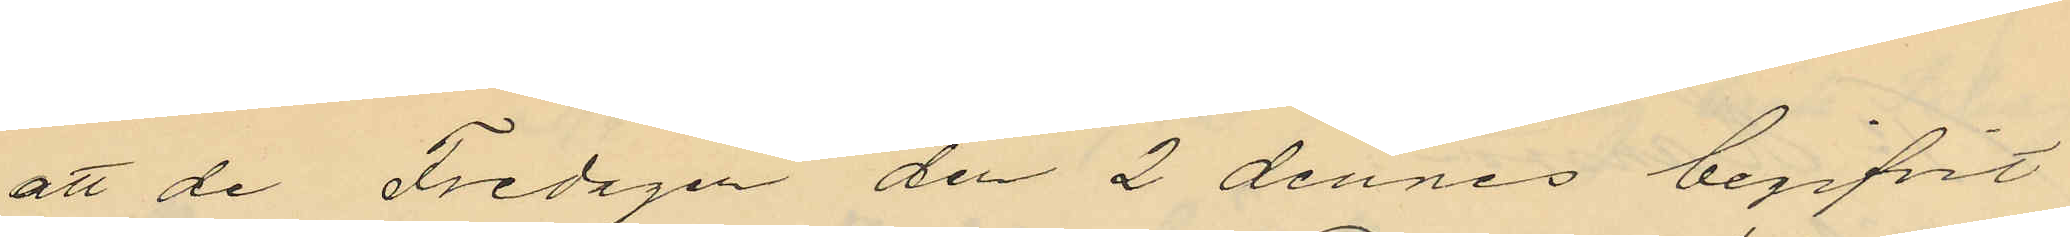att de Fredagen den 2 dennes begifvit
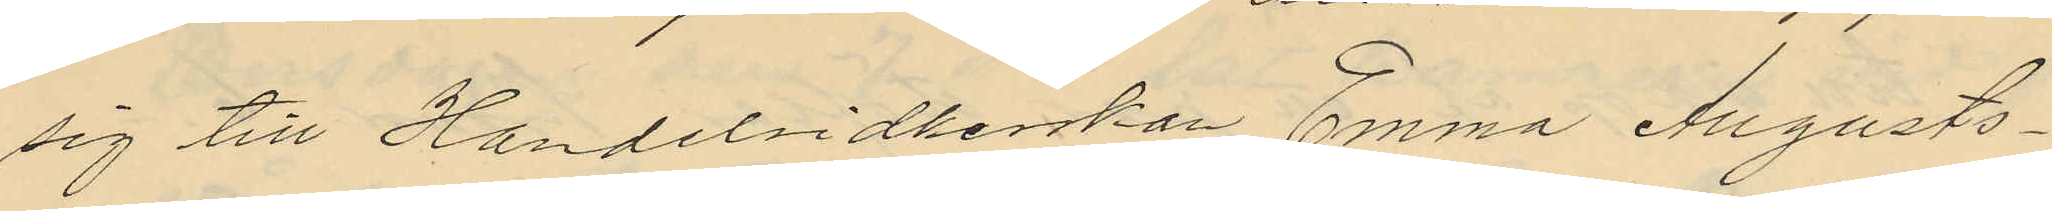sig till Handelsidkerskan Emma Augusts¬
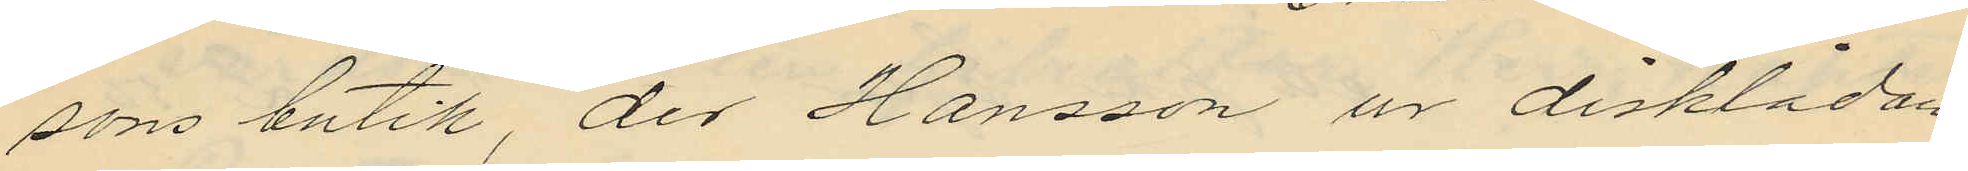sons butik, der Hansson ur disklådan
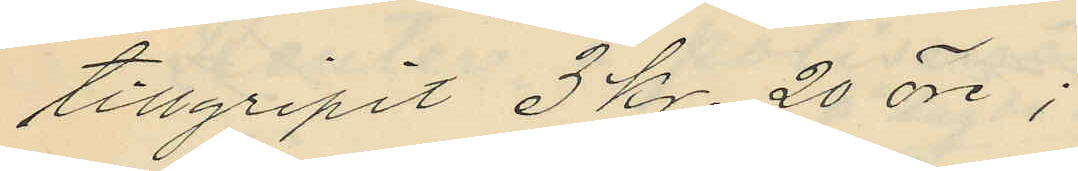tillgripit 3 Kr. 20 öre;
